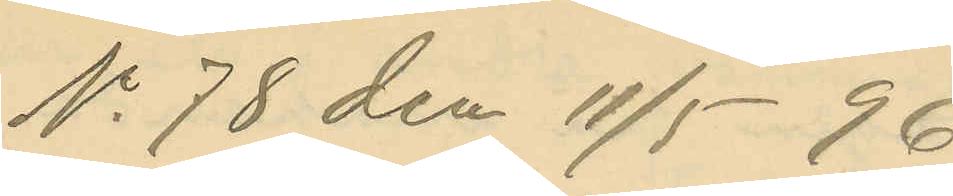No 78 den 11/5 96.
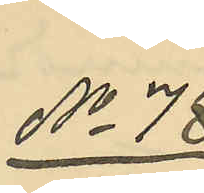No 78
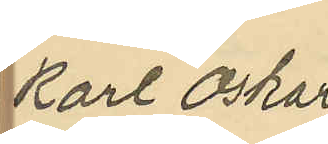Karl Oskar
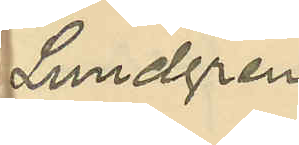Lundgren.
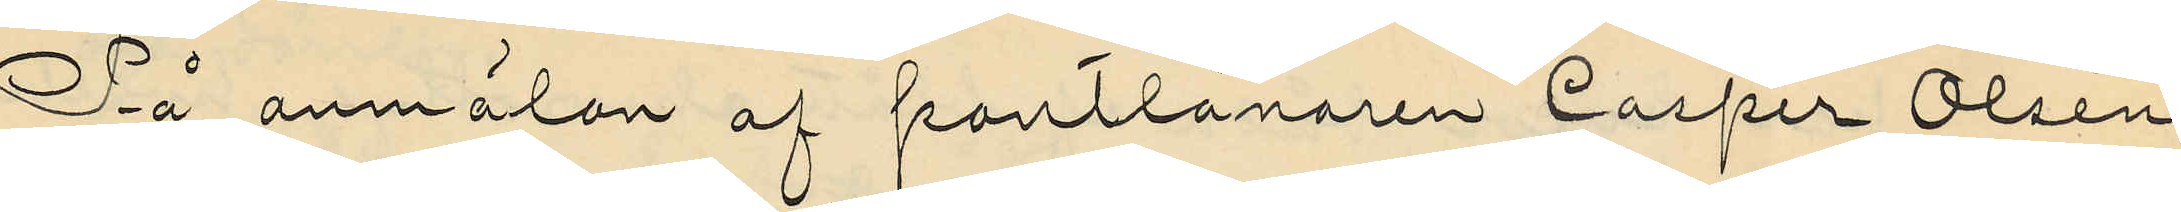På anmälan af pantlånaren Casper Olsén,
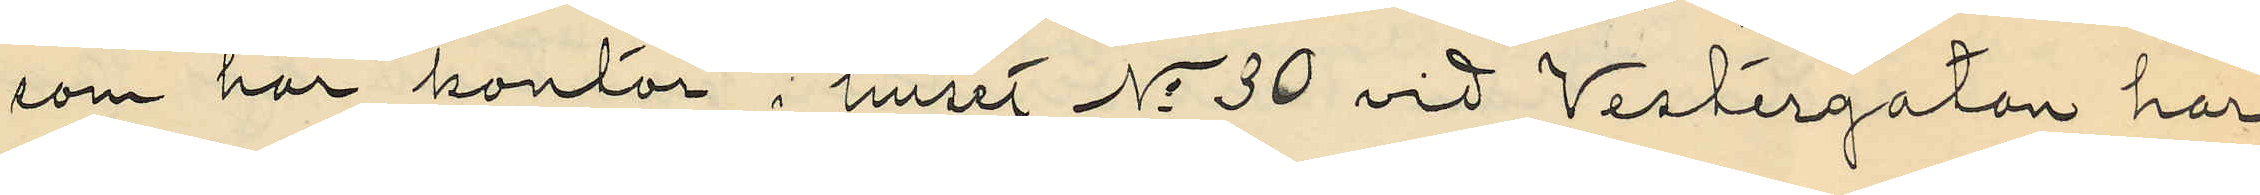som har kontor i huset No 30 vid Vestergatan har
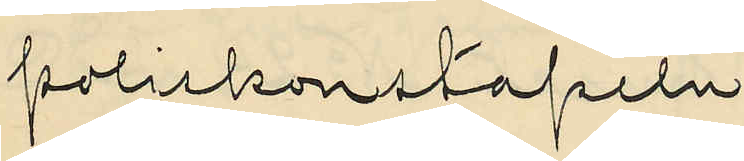poliskonstapeln
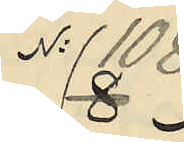No 108
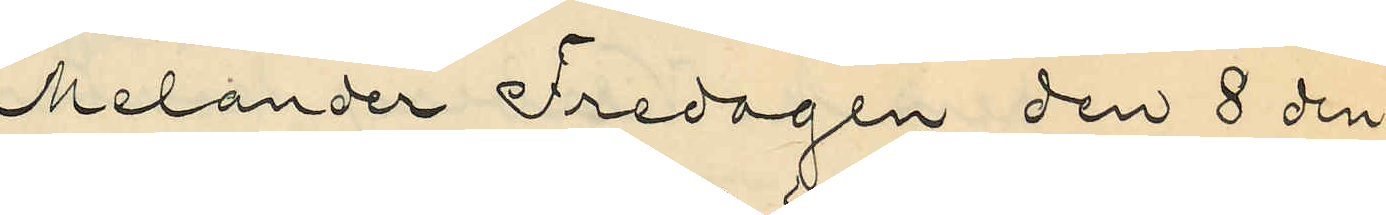Melander Fredagen den 8 den¬
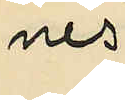nes
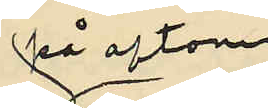på aftonen
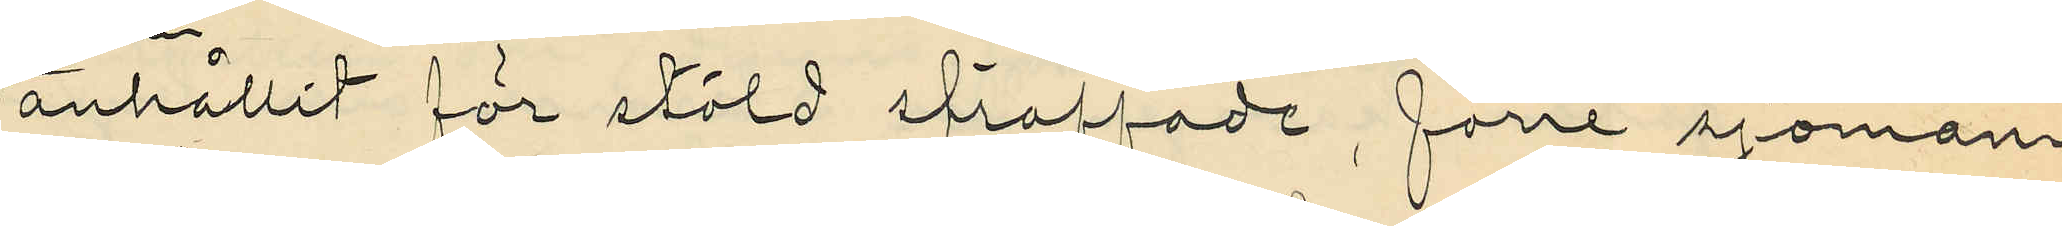anhållit för stöld straffade, förre sjöman¬
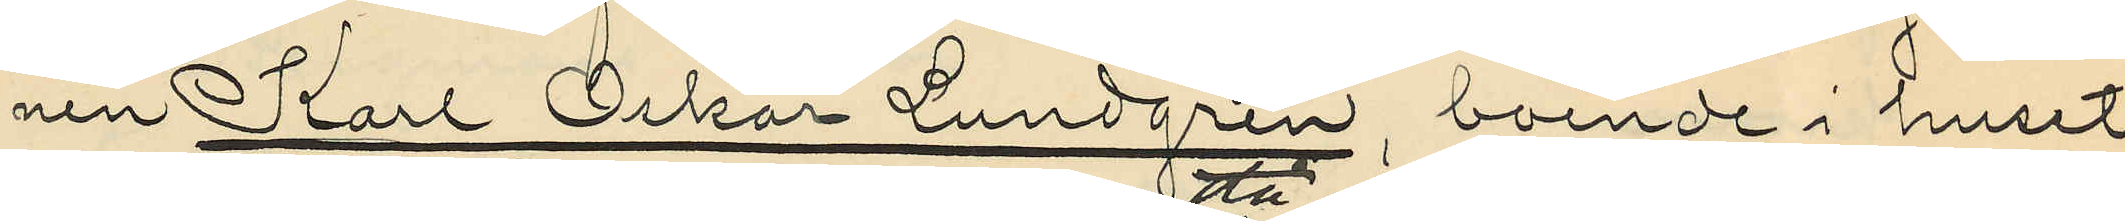nen Karl Oskar Lundgren, boende i huset
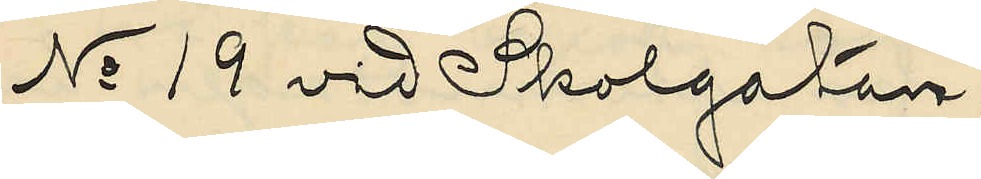No 19 vid Skolgatan,
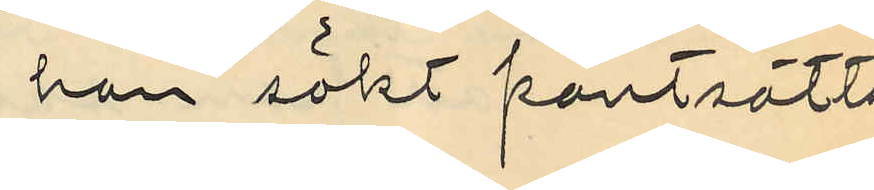han sökt pantsätta
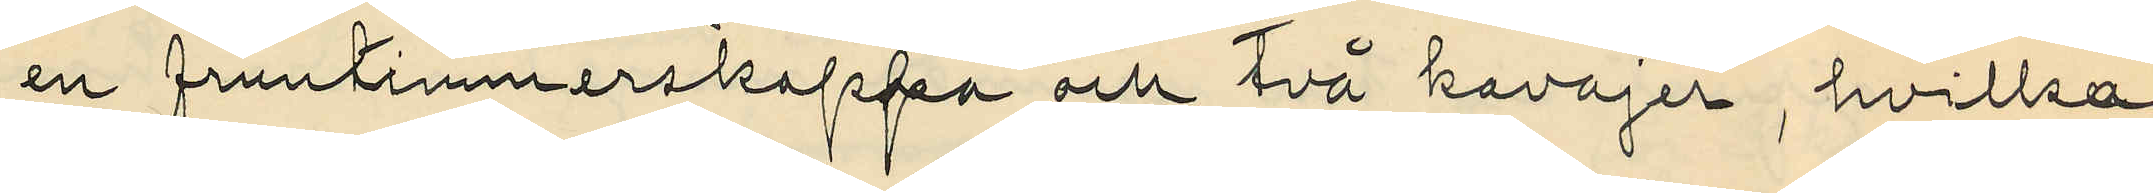en fruntimmerskappa och två kavajer, hvilka
